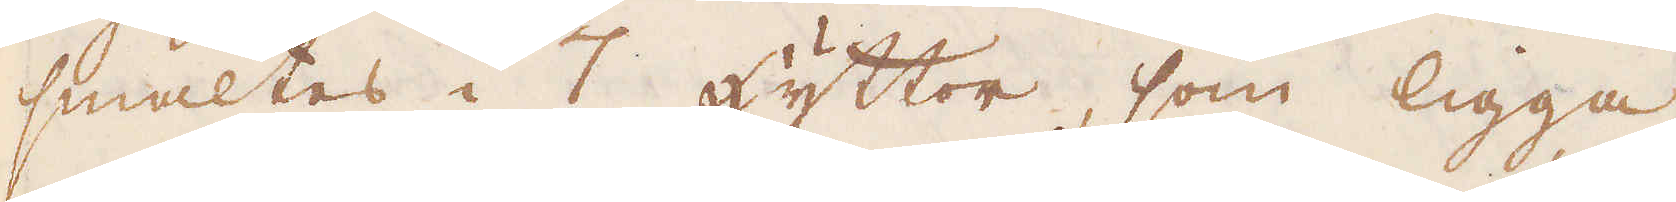smältes i 7 Hyttor, som ligga
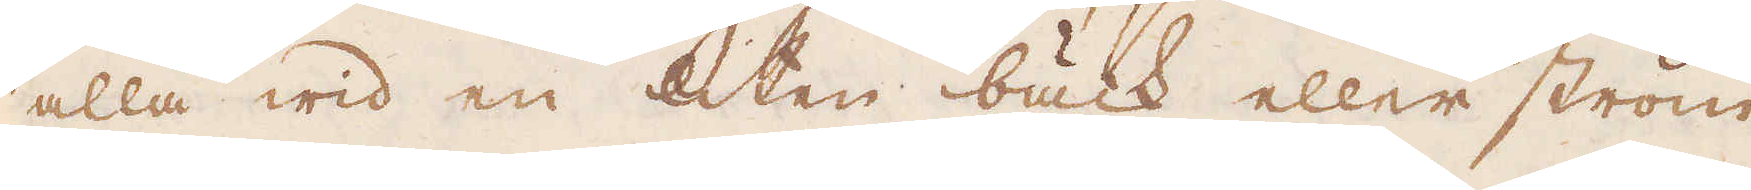alla wid en liten bäck eller ström
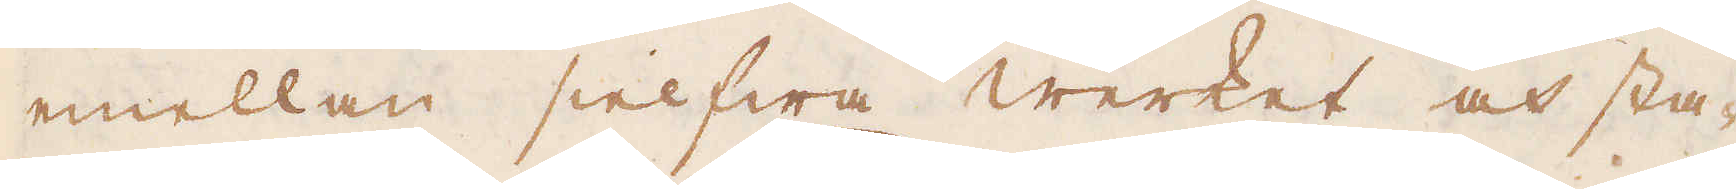emellan sielfwa werket och sta-
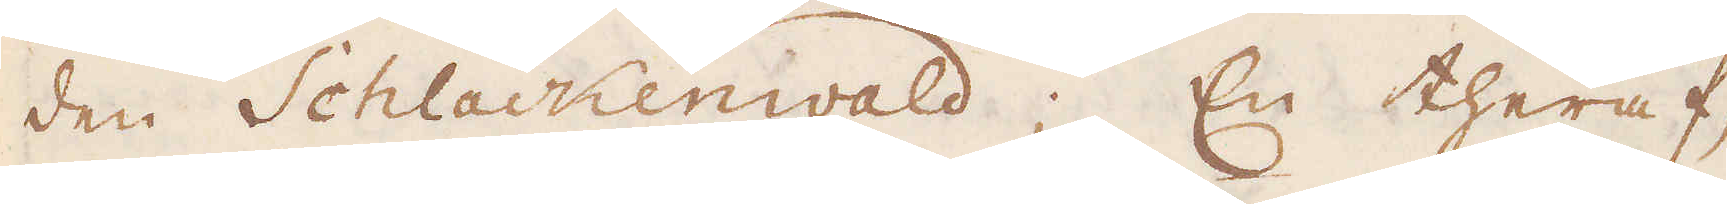den Schlackenwald; En theraf,
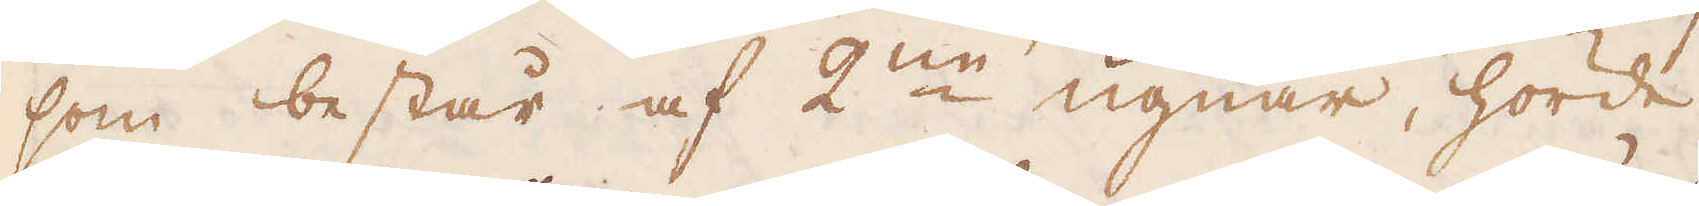som består af 2:ne ugnar, hörde
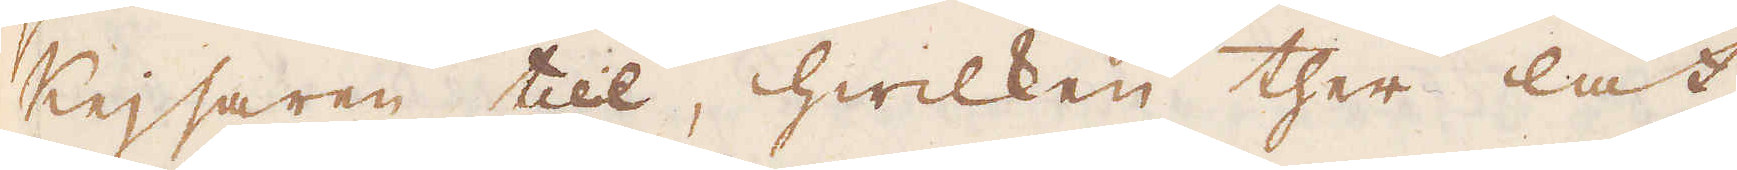Keijsaren till, hwilken ther lät
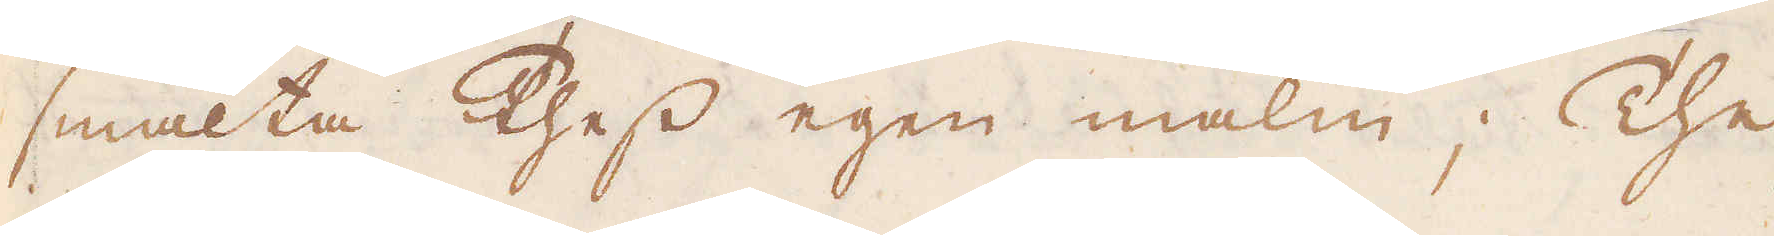smälta thess egen malm; The
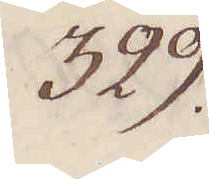329.
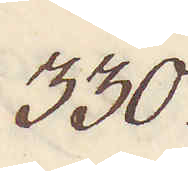330.
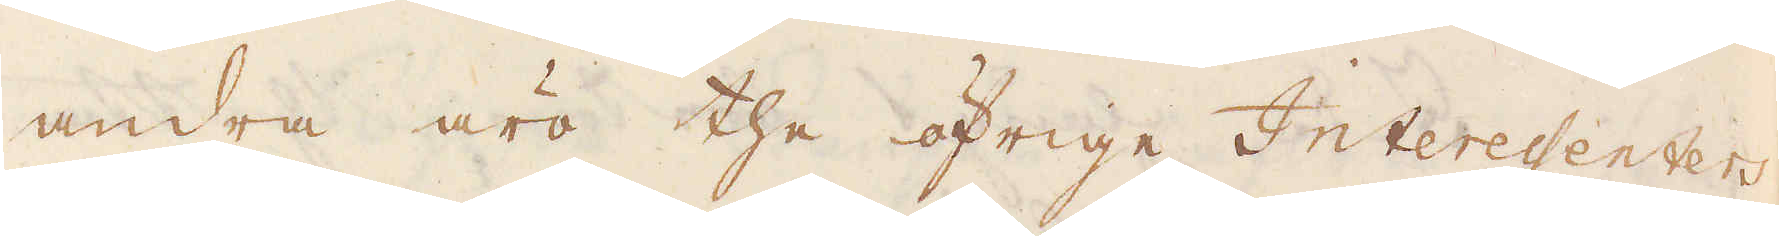andra äro the öfrige Interessenters
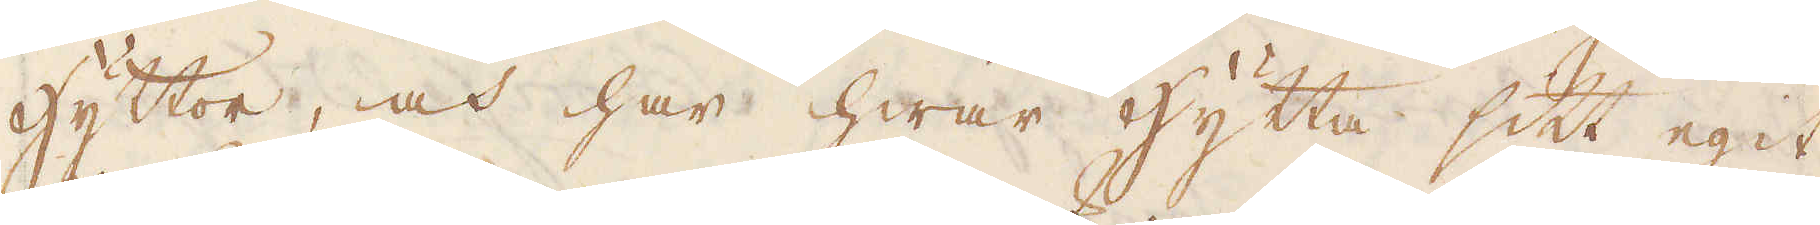hyttor, och har hwar hytta sitt egit
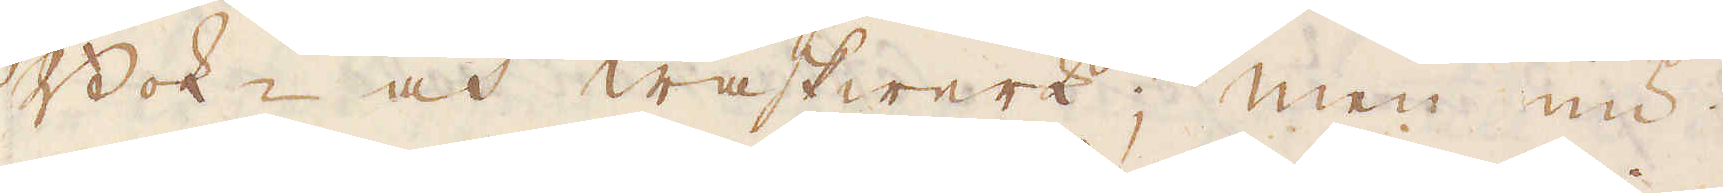Bok- och waskwerk; men nu
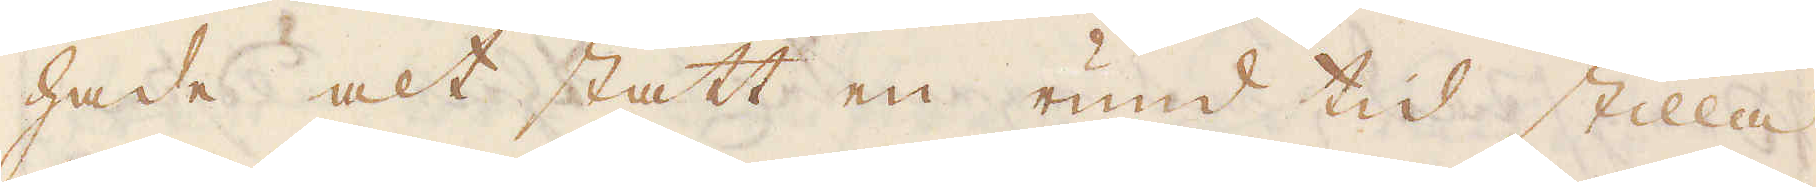hade alt stått en rund tid stilla
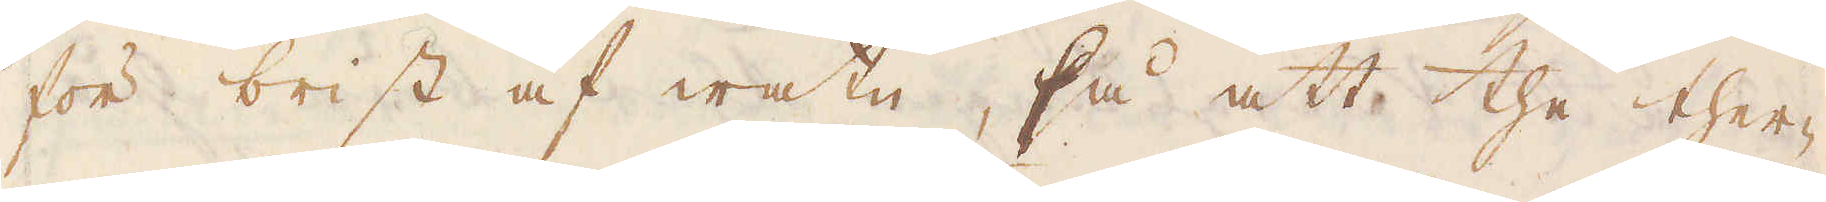för brist af watn, så att the ther-
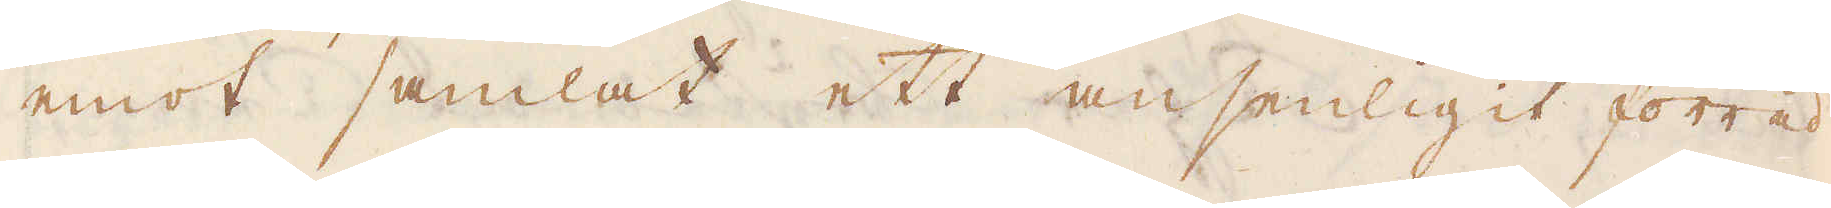emot samlat ett ansenligit förråd
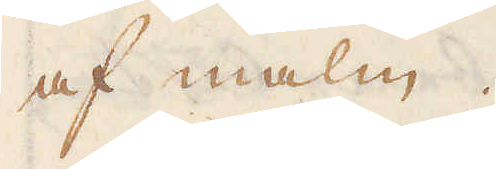af malm.
